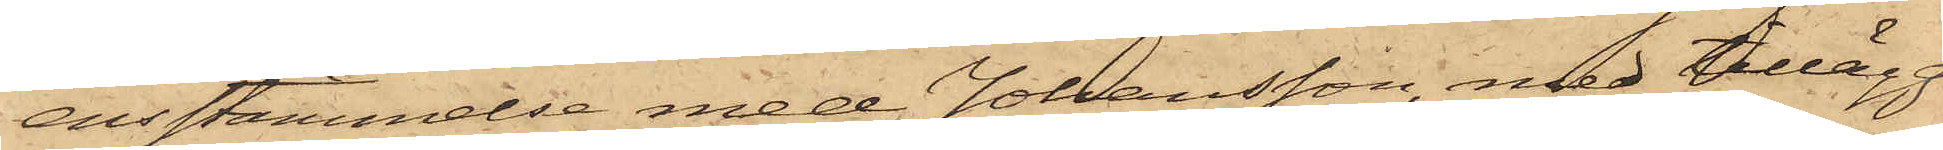ensstämmelse med Johansson, med tillägg
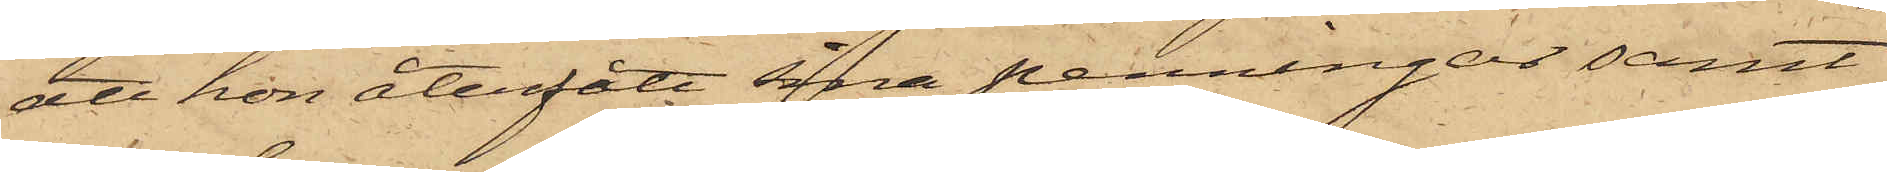att hon återfått sina penningar samt
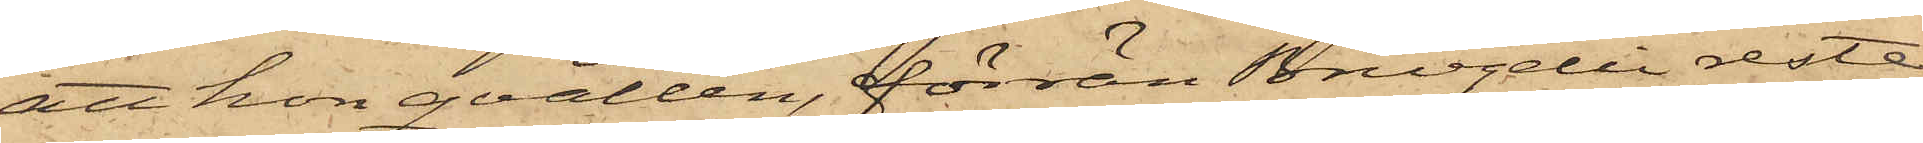att hon qvällen, förrän Bruzelli reste,
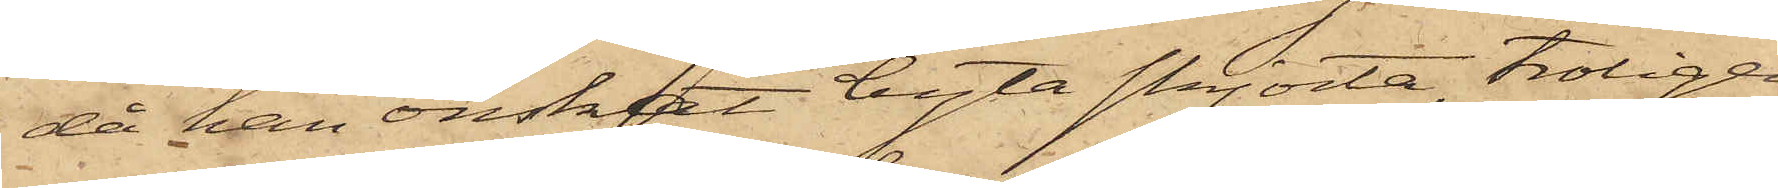då han önskat byta skjorta, troligen
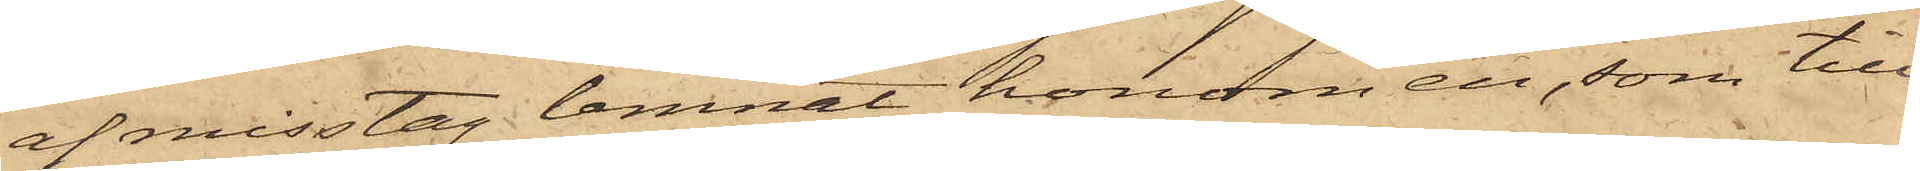af misstag lemnat honom en, som till¬
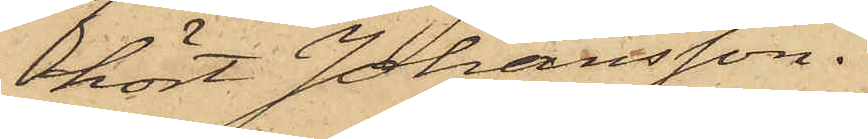hört Johansson.
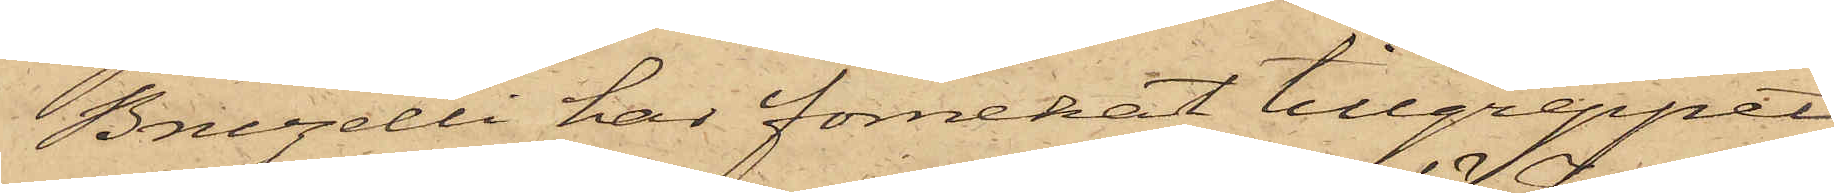Bruzelli har förnekat tillgreppet
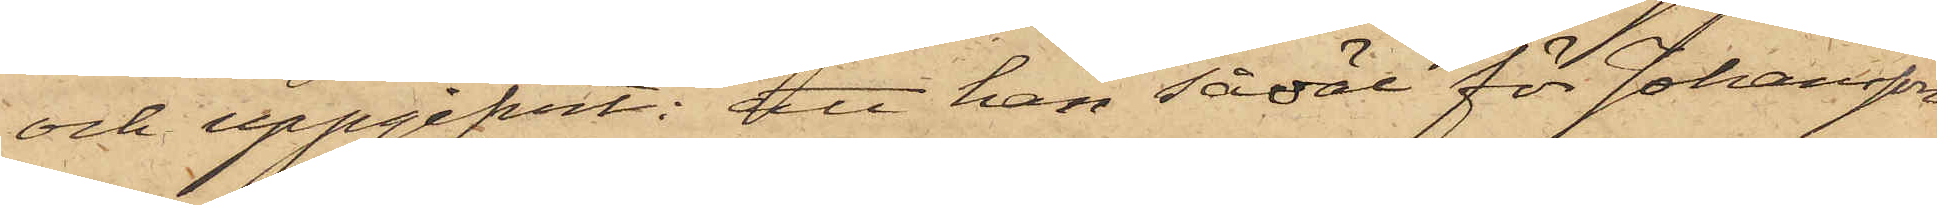och uppgifvit: att han såväl för Johansson
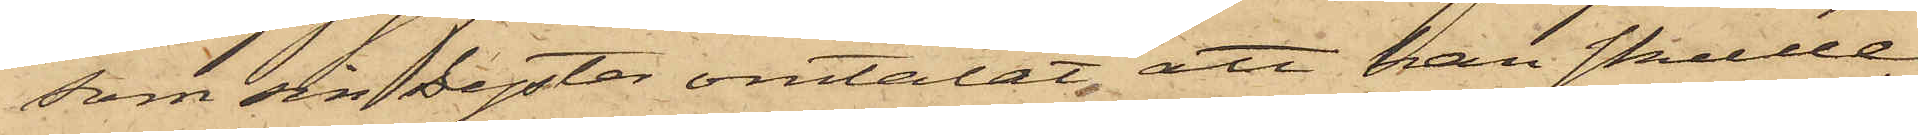som sin Syster omtalat, att han skulle
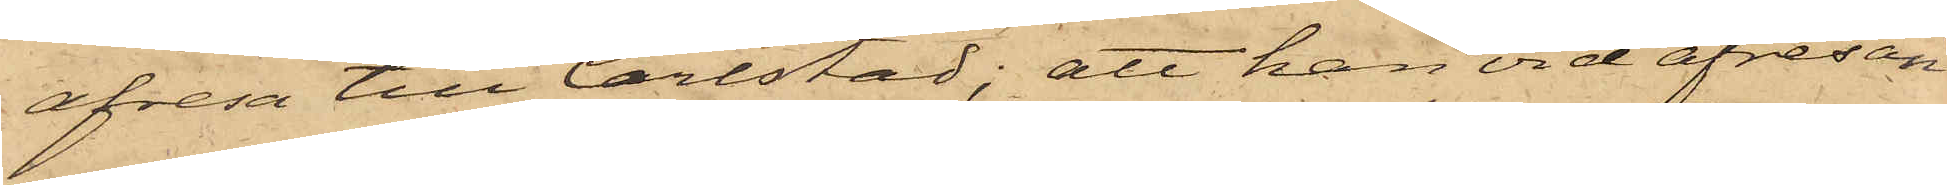afresa till Carlstad; att han vid afresan
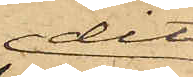dit
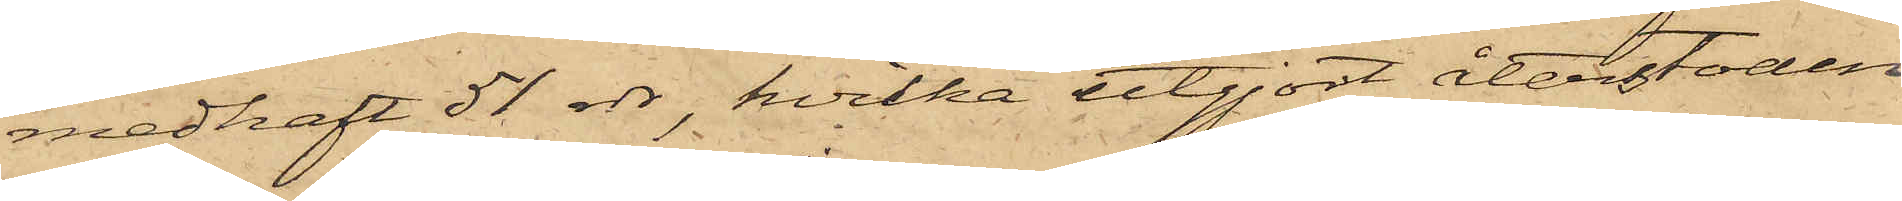medhaft 51 rdr, hvilka utgjort återstoden
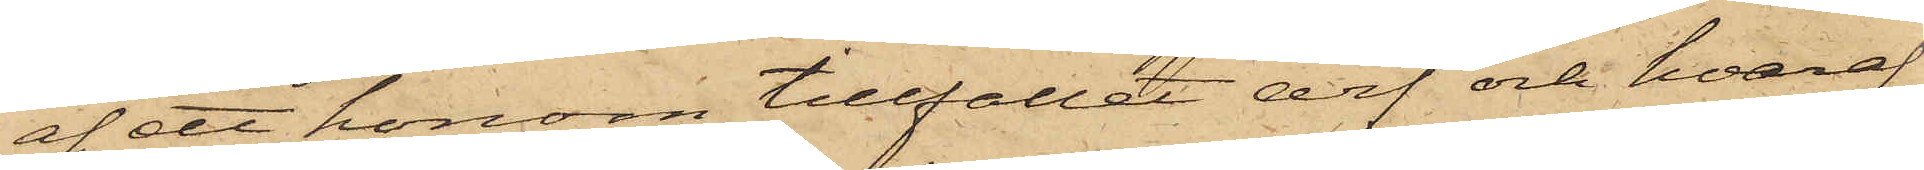af ett honom tillfallet arf och hvaraf
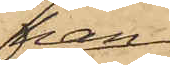han
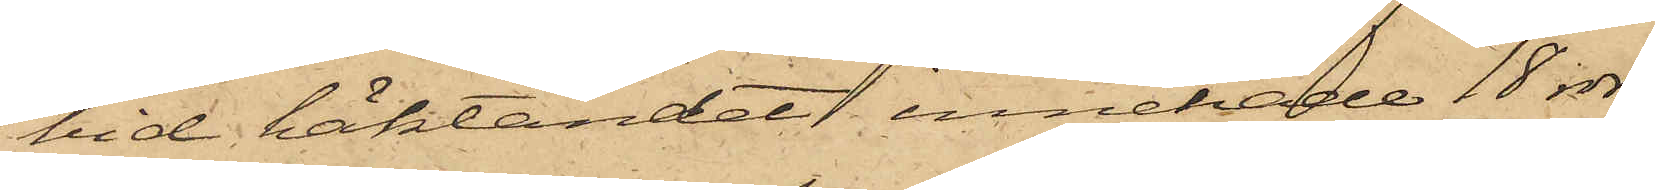vid häktandet innehade 18 rdr;
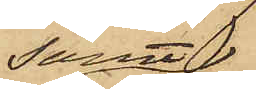samt
